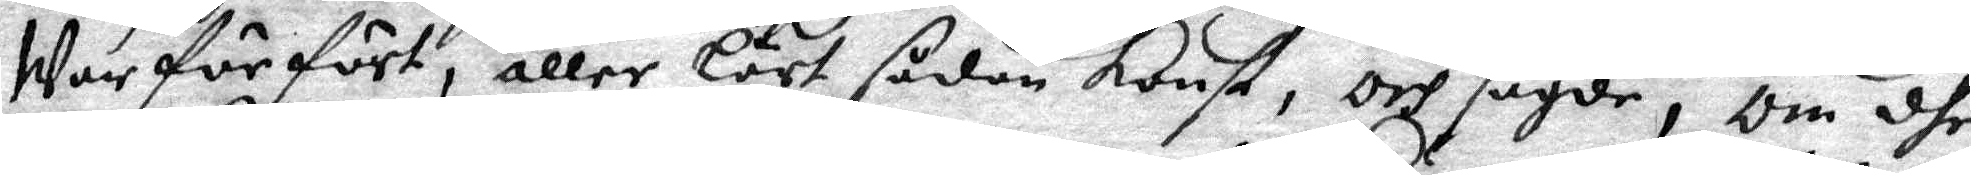War förfört, eller Lärt sådan konst, och sagde, Om dhe
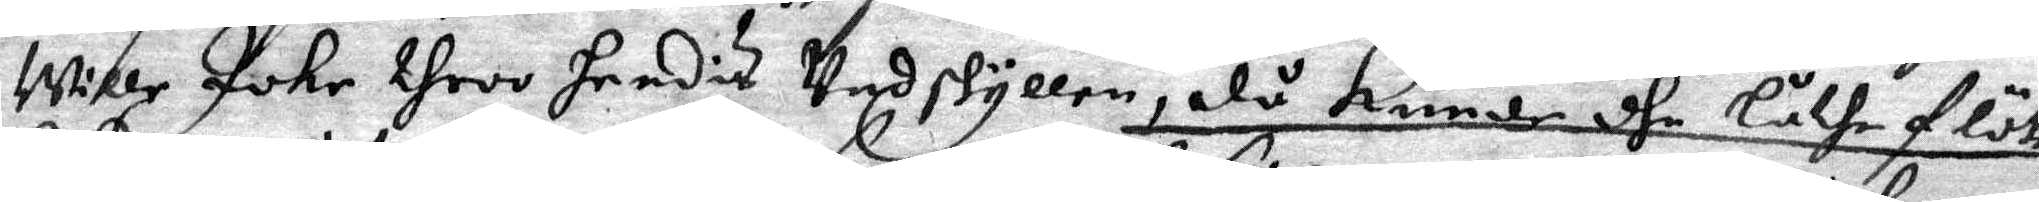Wille Johr throo hendis Undskyllen, då kunde dhe Låthe flöte
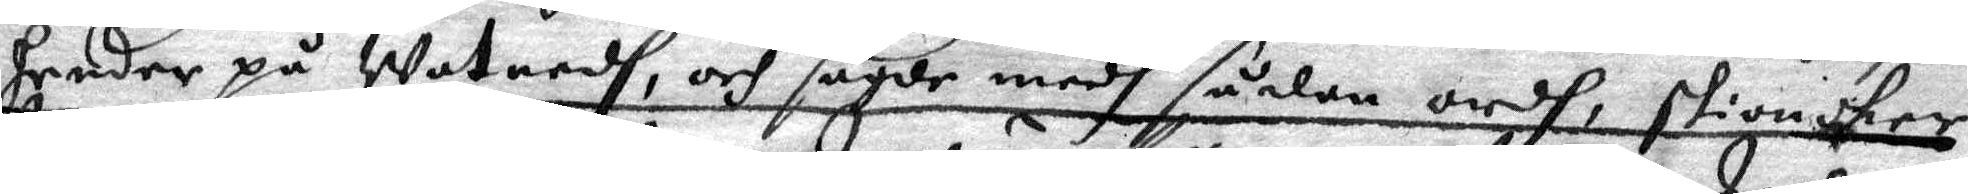hender på Watnedh, och sagde medh sådan ordh, skionker
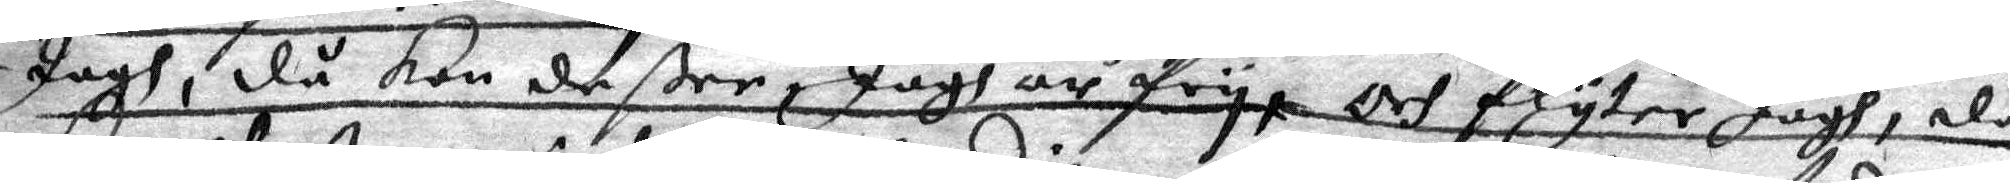Jagh, då kan de ßee Jagh är fry, och flyter Jagh, då
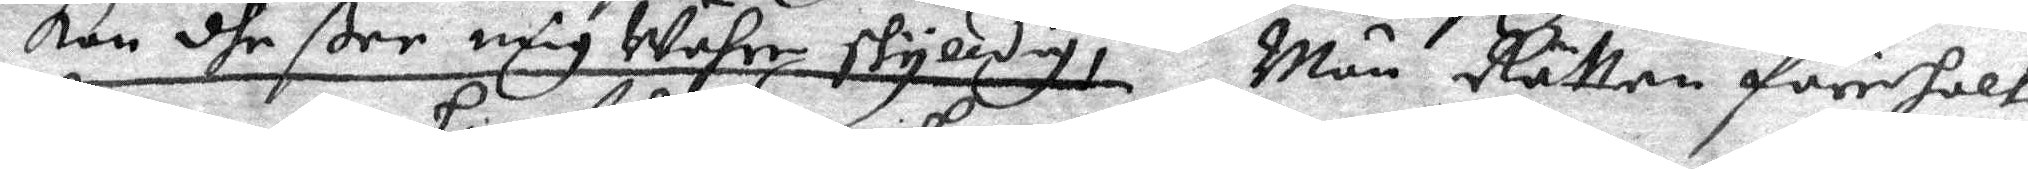kan dhe ßee mig Währe skylldig, Män Rätten föreholt
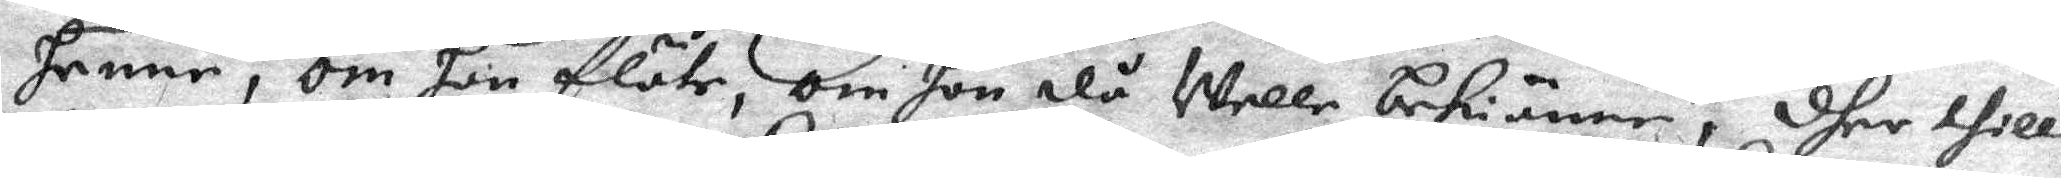henne, om hon flöte, om hon då Welle bekiänne, dher thill
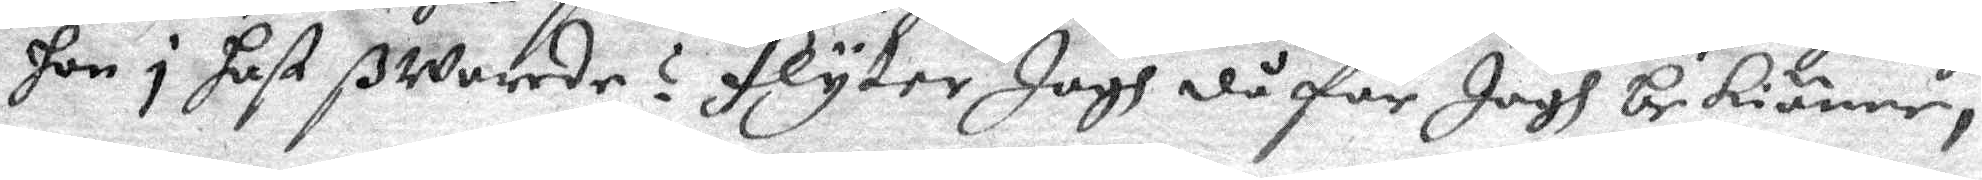hon i hast ßwarede? flyter Jagh då får Jagh bekiänna, 
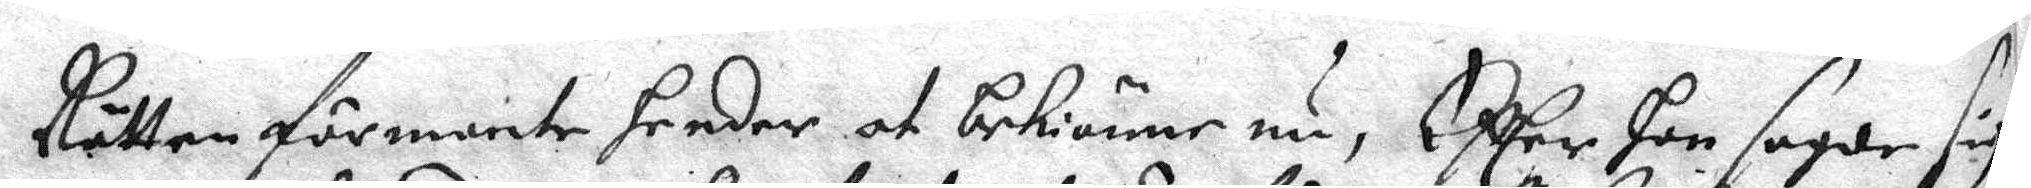Rätten förmante hender at bekiänne nu, Efter hon sagde sig
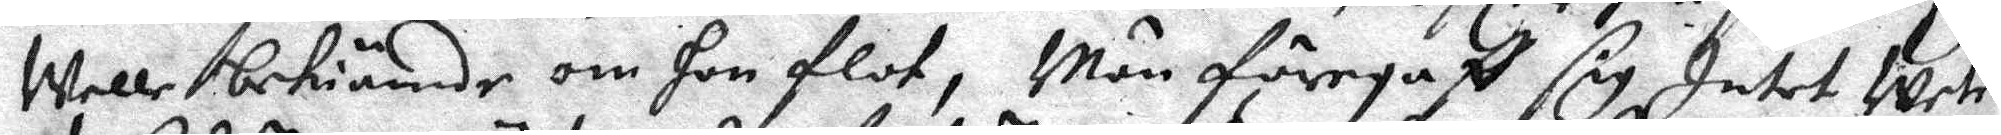Welle bekiände om hon flot, Män föregaff sig Intet Wete
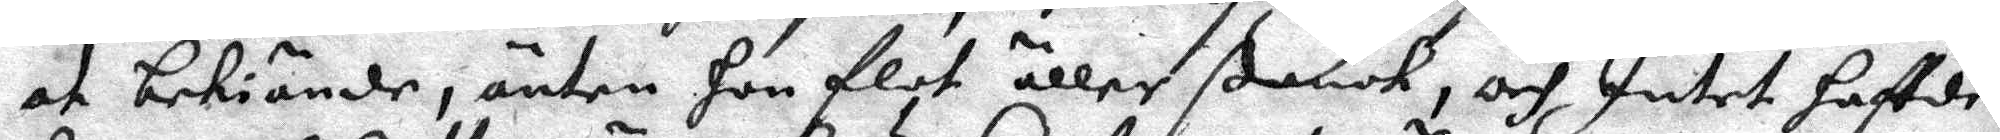at bekiände, änten hon flot äller Sank och Intet haffde
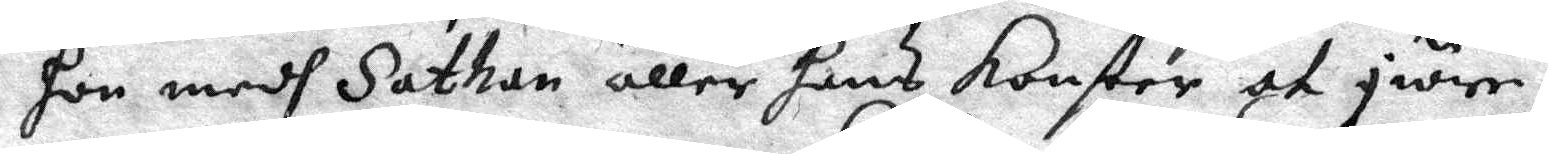hon medh Sathan äller hans konster at giöre,
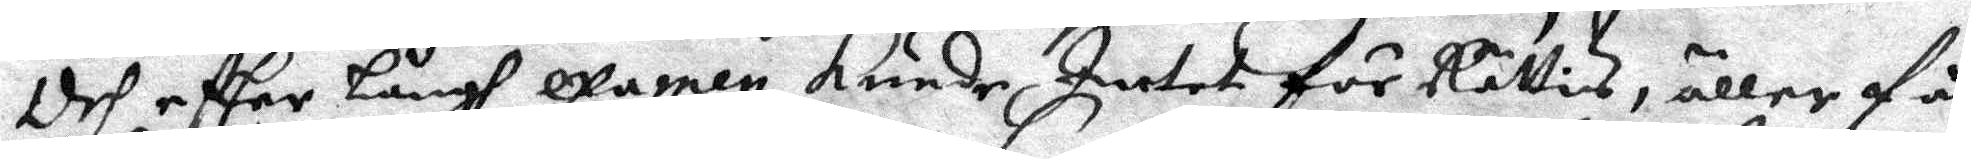Och efter långh examen kunde Intet för Rättis, Äller få
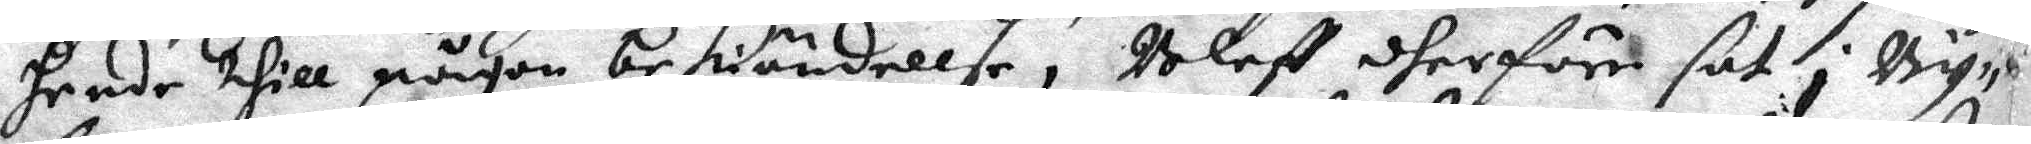hende thill någon bekiändellse, Bleff dherföre sat i By¬ 
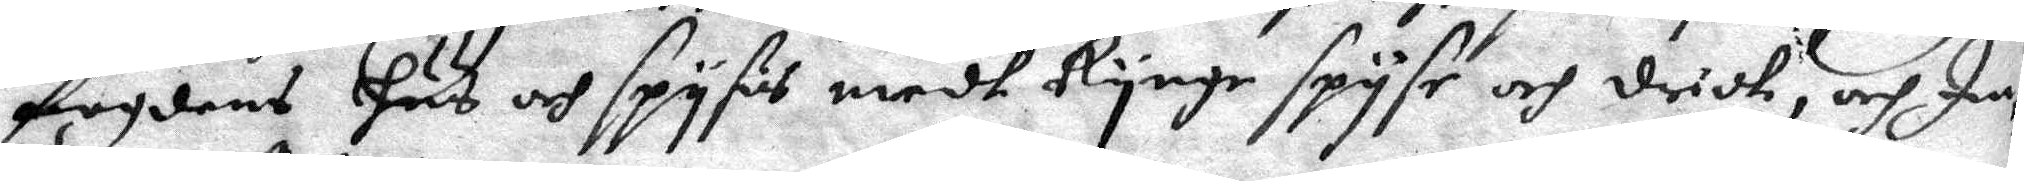fogdens Hus och spyses medh Rynge spyse och drick, och In¬
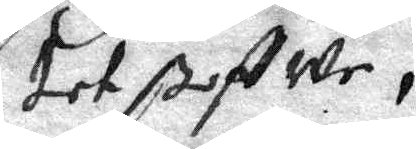tet ßoffwe,
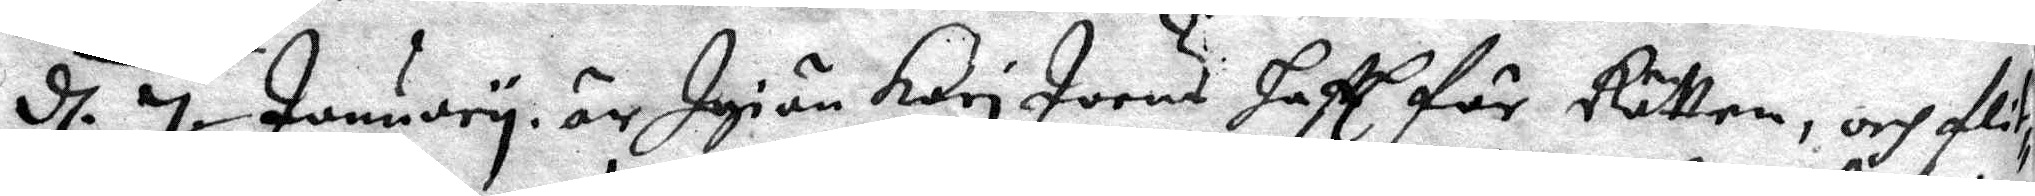d. 7 Junuary är Igiän Kari Joens hafft för Rätten, och fli¬ 
